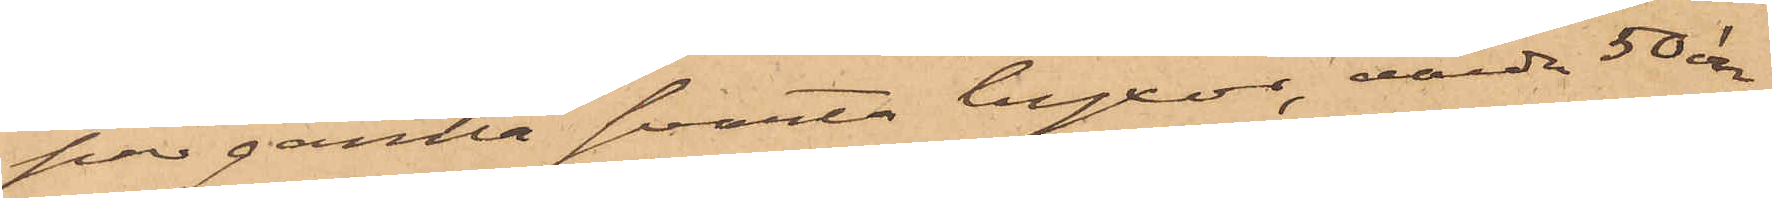par gamla svarta byxor, värda 50 öre
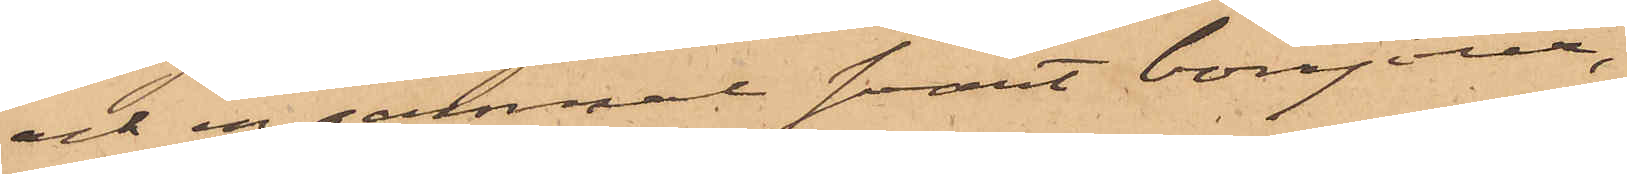och en gammal svart bonjour,
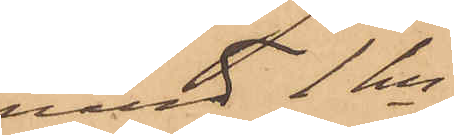värd 1 kr
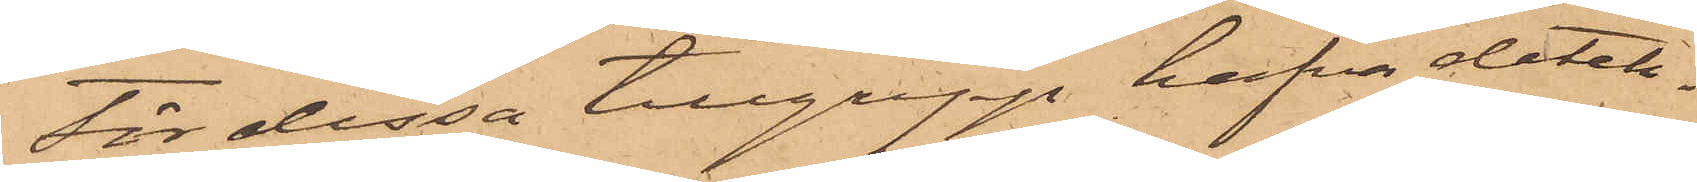för dessa tillgrepp hafva detek¬
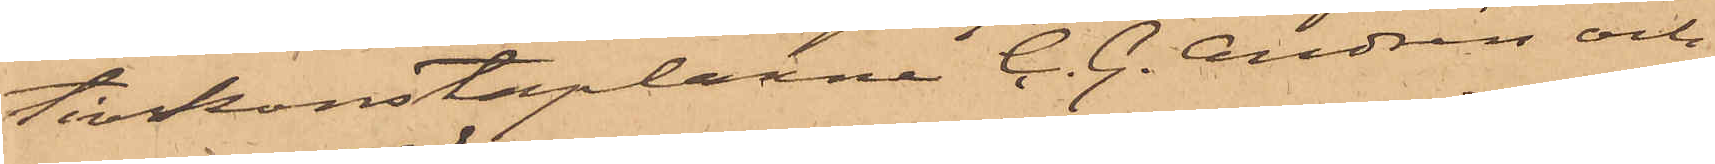tivkonstaplarne C. G. Andrén och
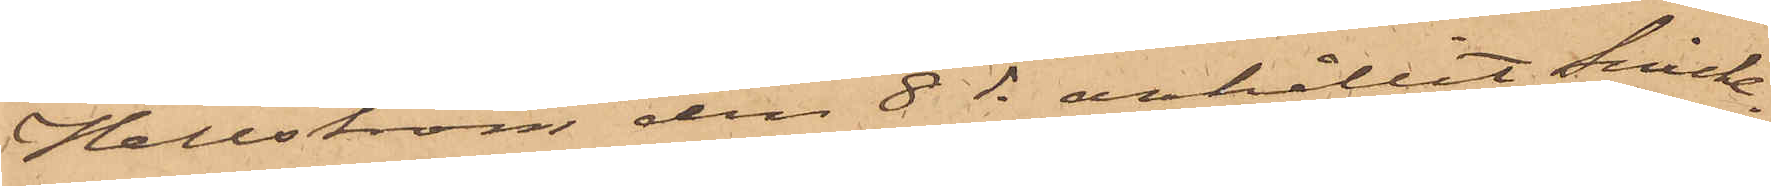Hellström den 8 ds anhållit Snicke¬
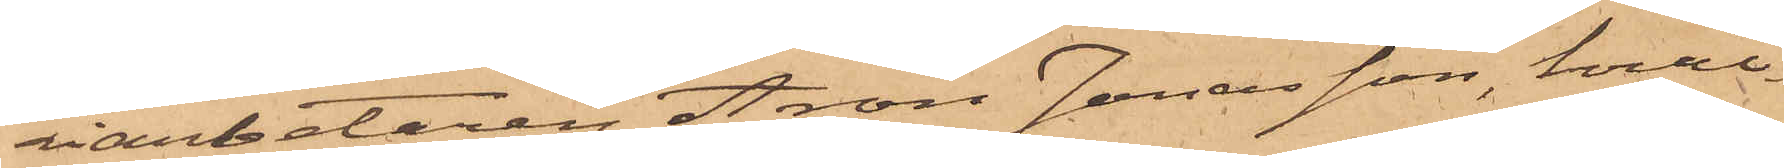riarbetaren Aron Jonasson, hvil¬
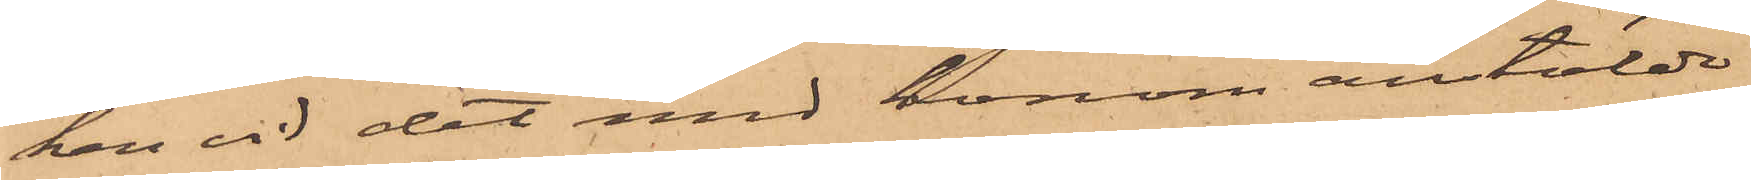ken vid det med honom anstälde
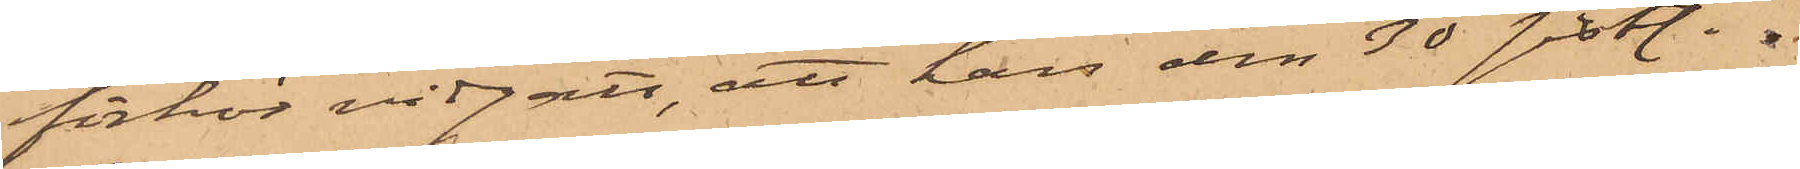förhör vidgått, att han den 30 sistl. 
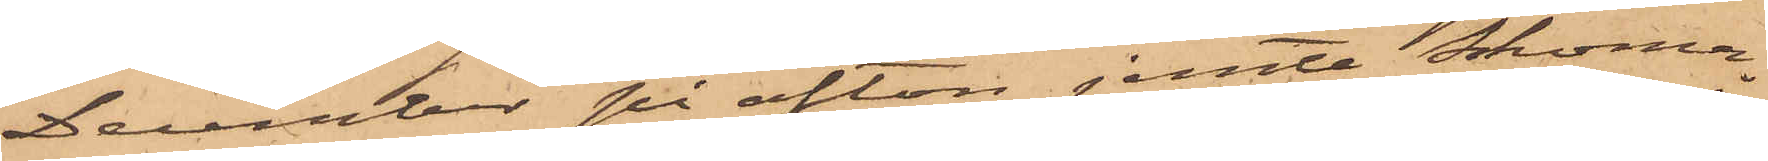December på afton jemte Skoma¬
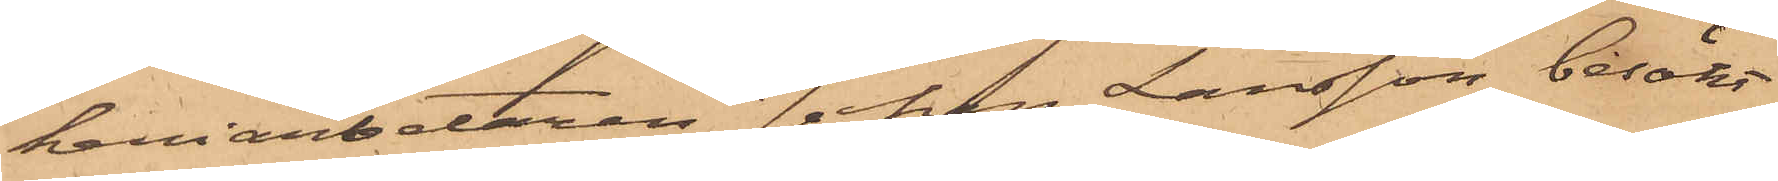keriarbetaren Johan Larsson besökt
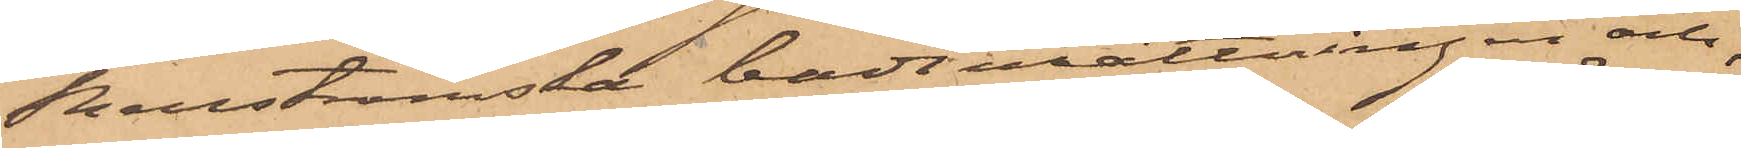Renströmsta badinrättningen och
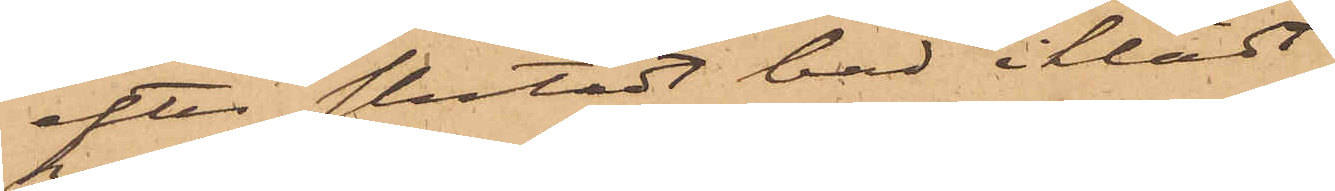efter slutadt bad iklädt
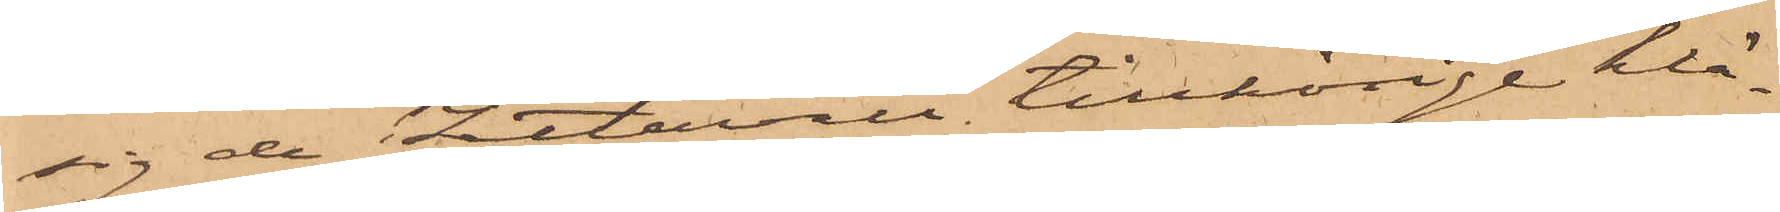sig de Zetervall, tillhörige klä¬
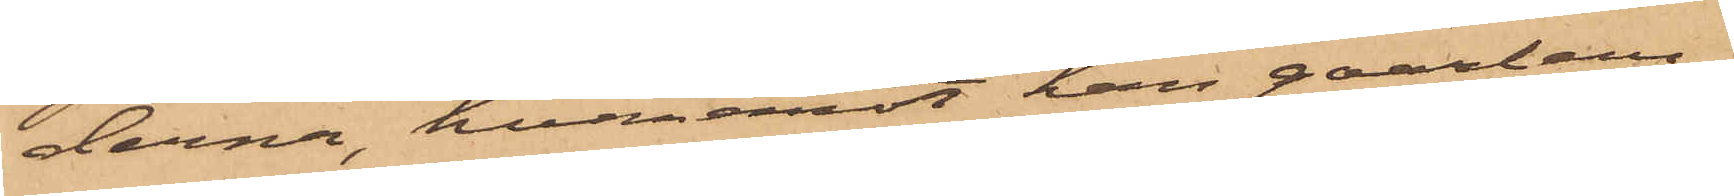derna, hvaremot han qvarlem¬
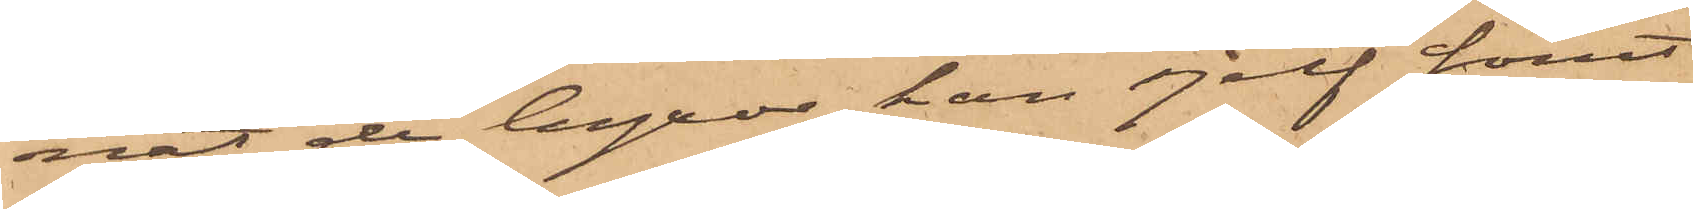nat de byxor, han sjelf förut
